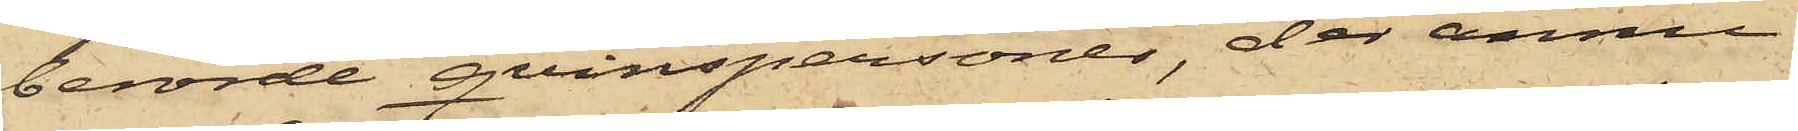berörde qvinspersoner, där ännu
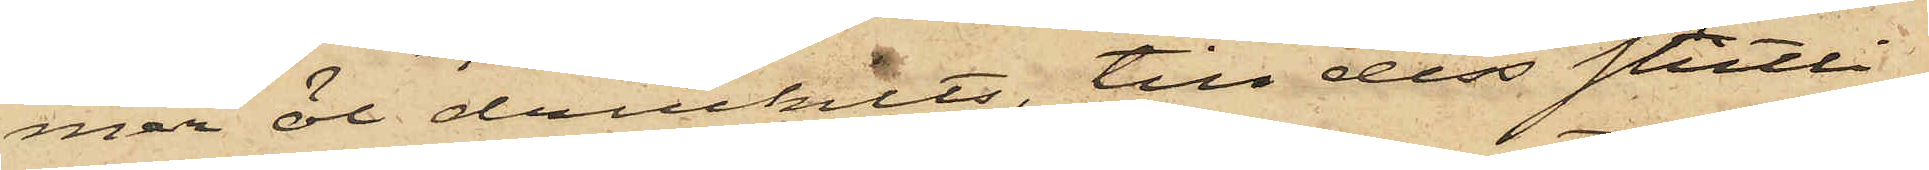mer öl druckits, till dess slutli¬
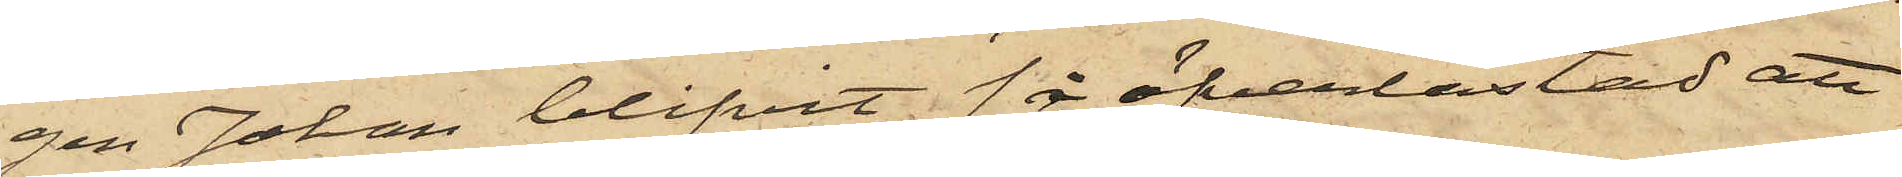gen Johan blifvit så öfverlastad att
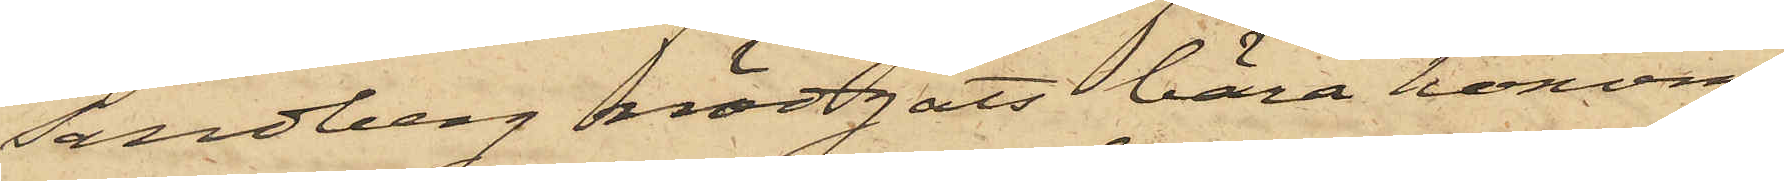Sandberg nödgats bära honom
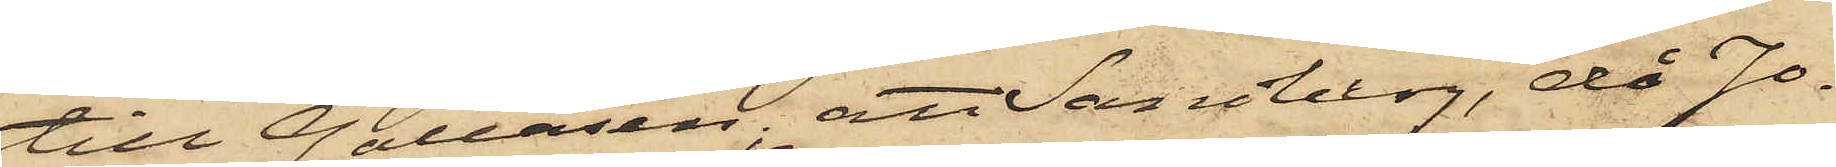till Galeasen; att Sandberg, då Jo¬
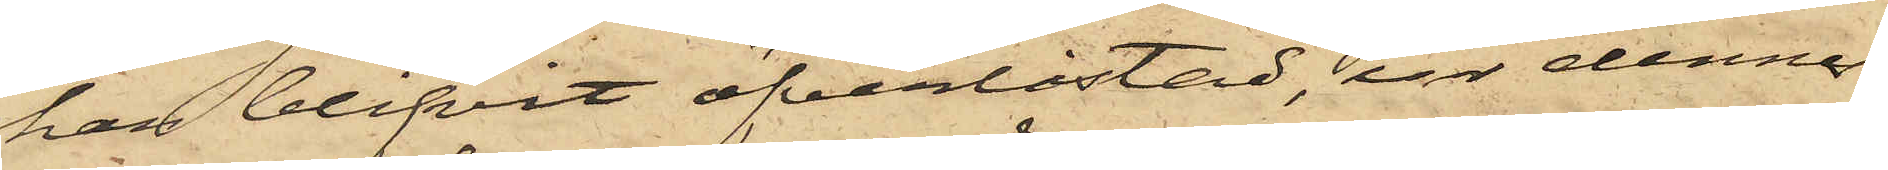han blifvit öfverlastad, ur dennes
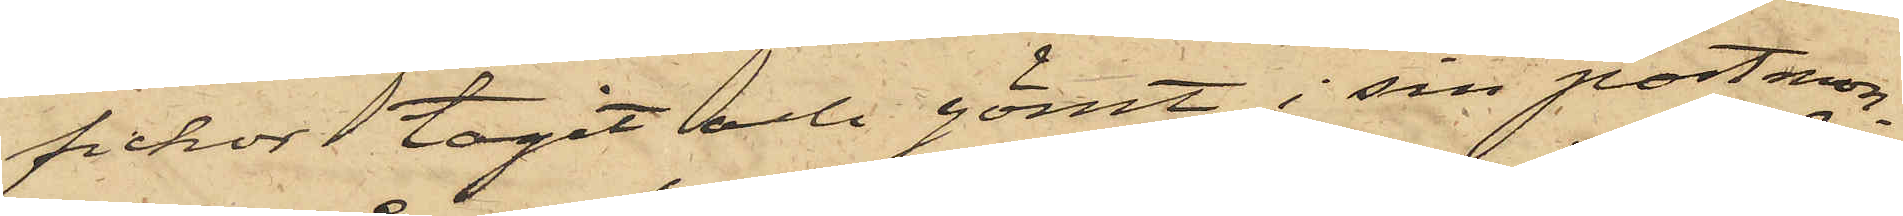fickor tagit och gömt i sin portmon¬
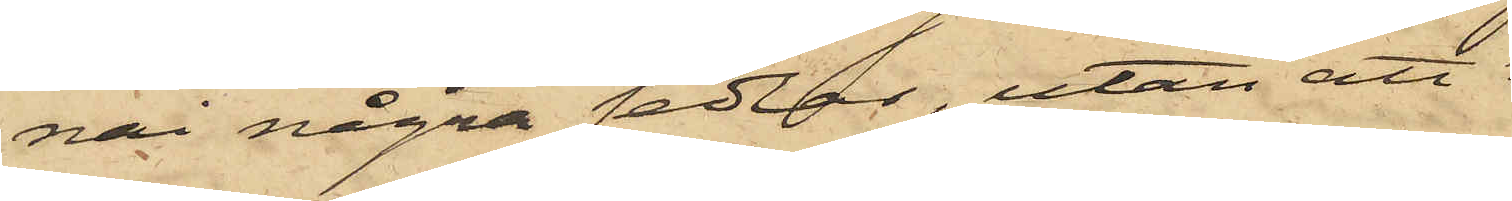nai några sedlar, utan att
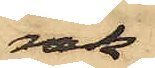räk¬
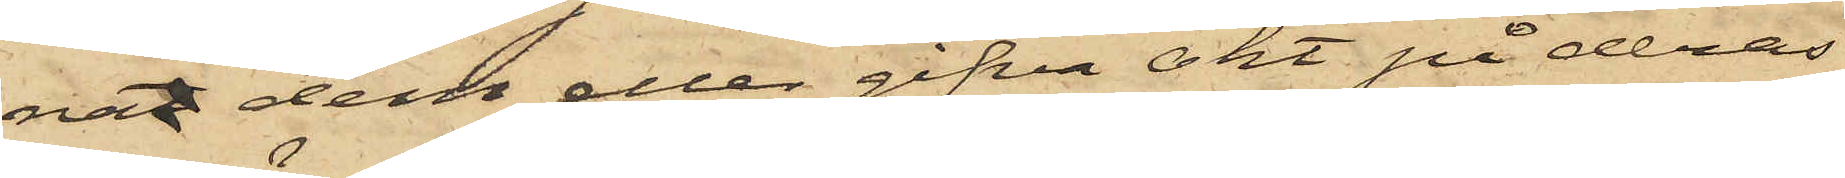nat dem eller gifva akt på deras
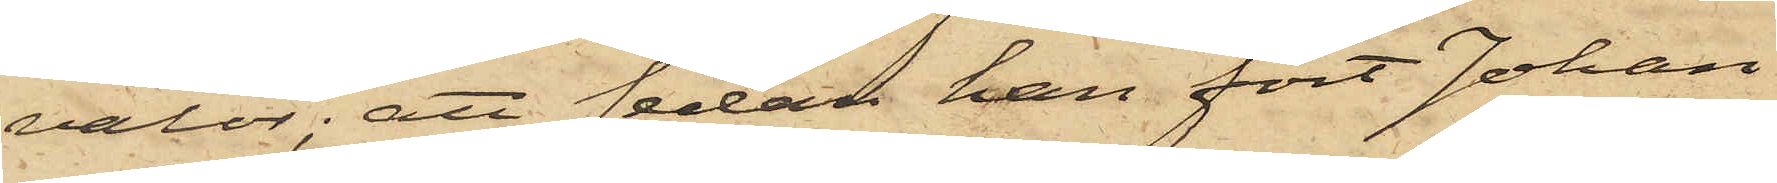valör; att sedan han fört Johan
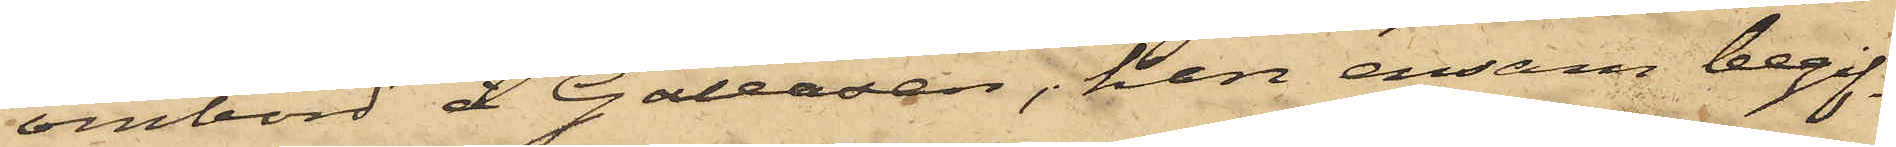ombord å Galeasen, han ensam begif¬
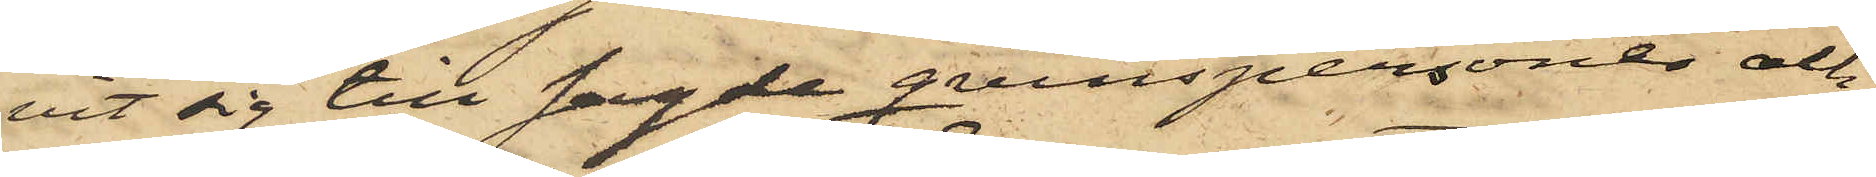vit sig till sagde qvinspersoner och
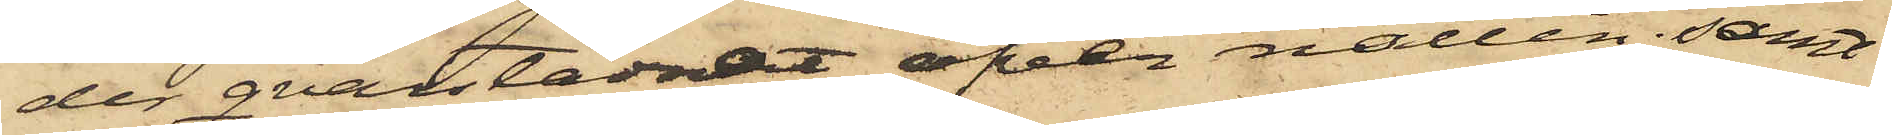der qvarstadnat öfver natten; samt
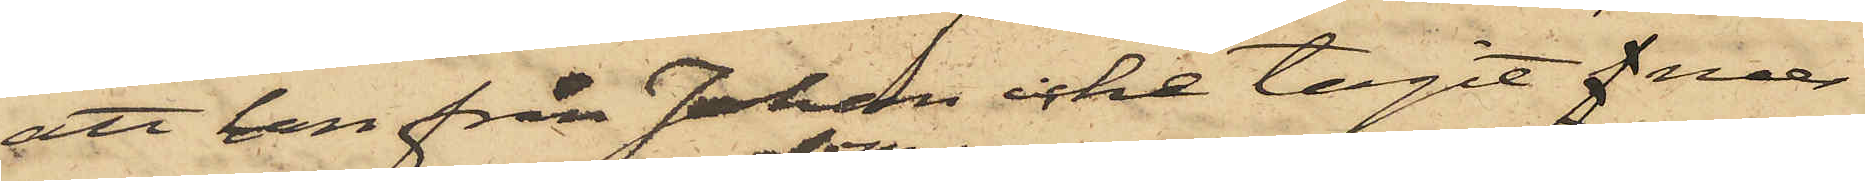att han från Johan icke tagit mer
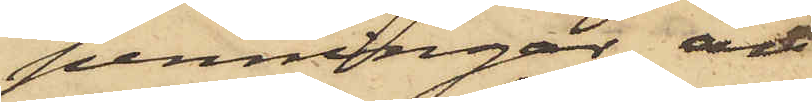penningar än
